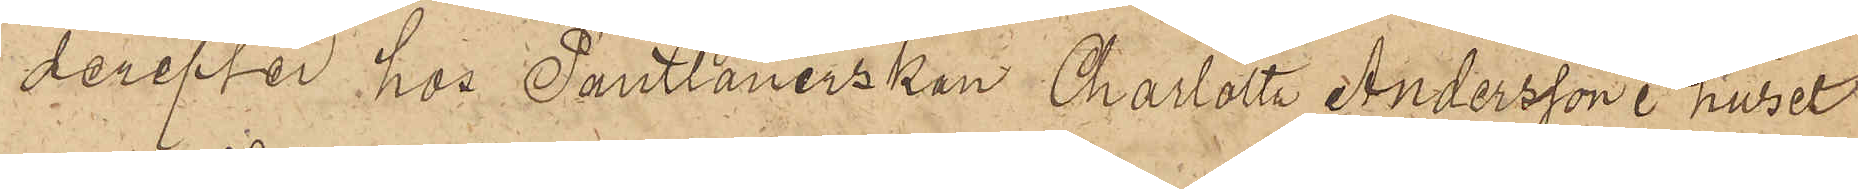derefter hos Pantlånerskan Charlotta Andersson i huset
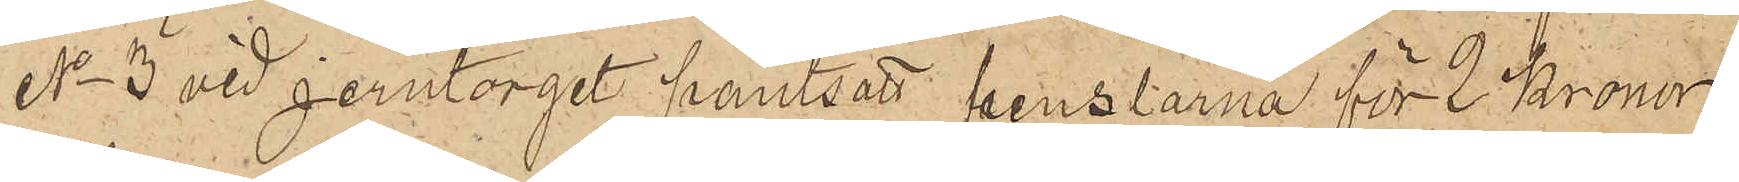No 3 vid Jerntorget pantsatt penslarna för 2 Kronor
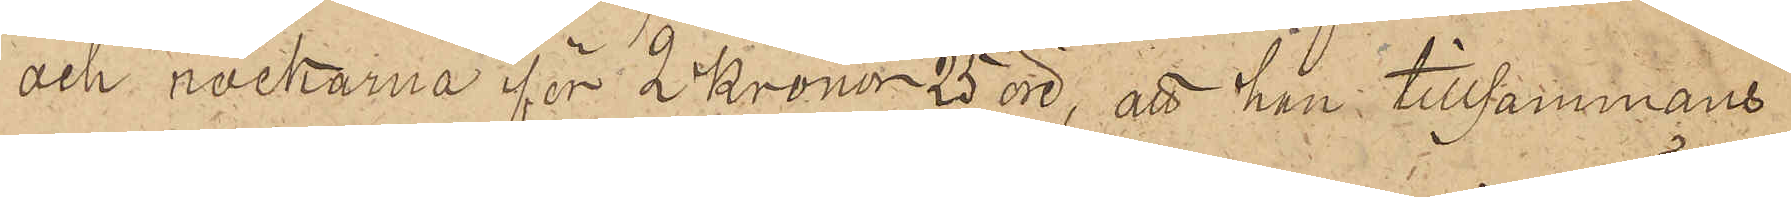och rockarna för 2 Kronor 25 öre; att han tillsammans
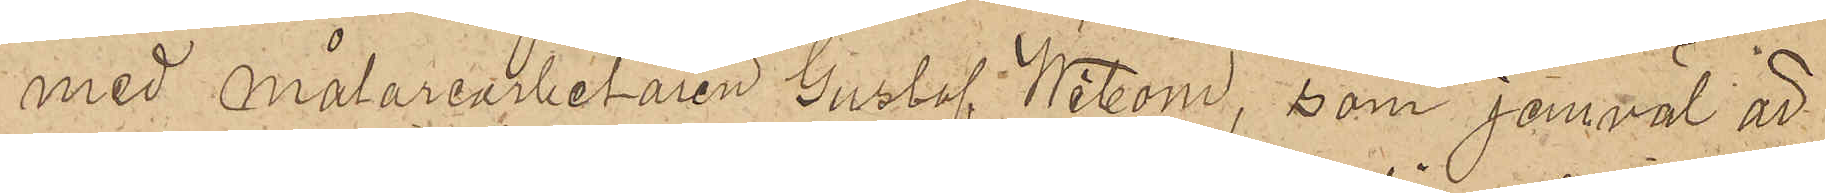med målarearbetaren Gustaf Wibom, som jemväl är
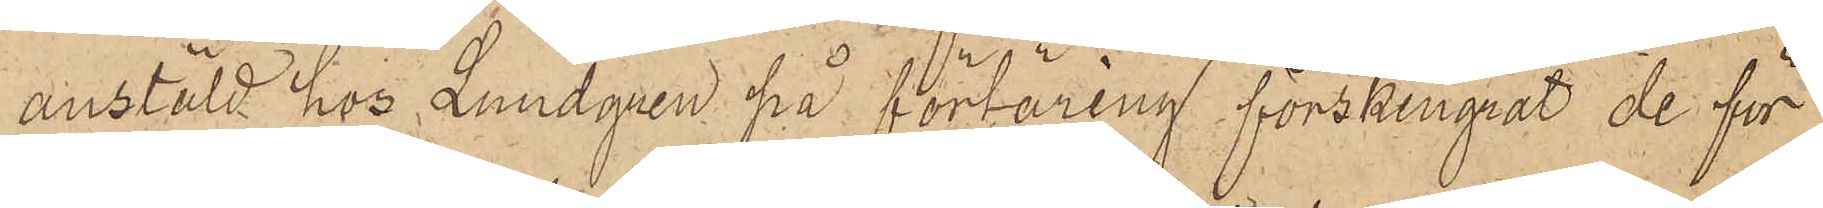anstäld hos Lundgren på förtäring förskingrat de för
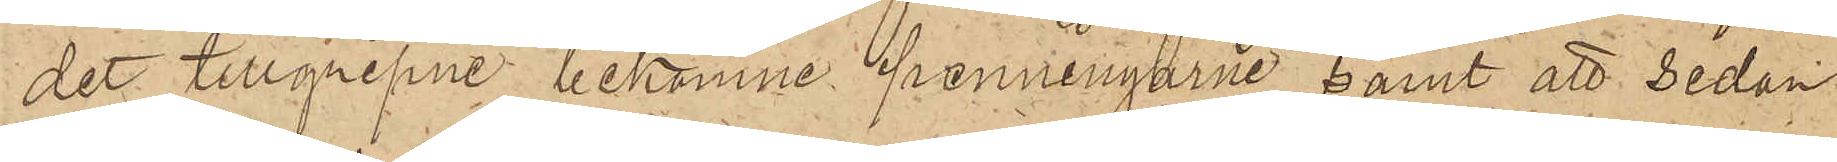det tillgripne bekomne penningarne, samt att sedan
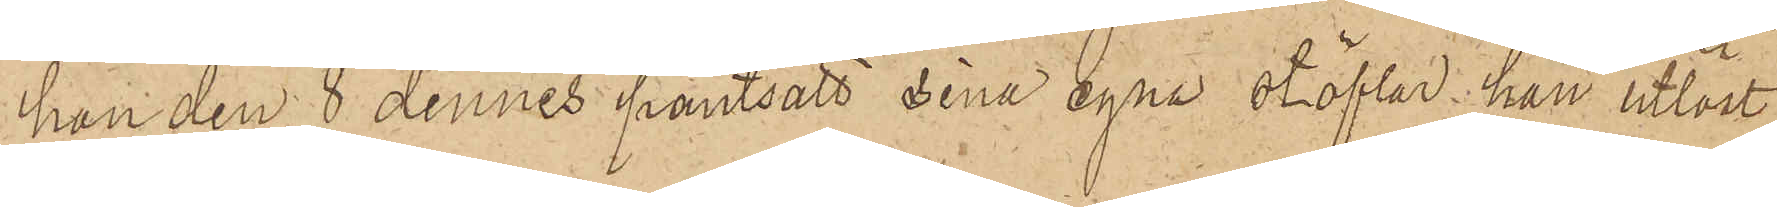han den 8 dennes pantsatt sina egna stöflar, han utlöst
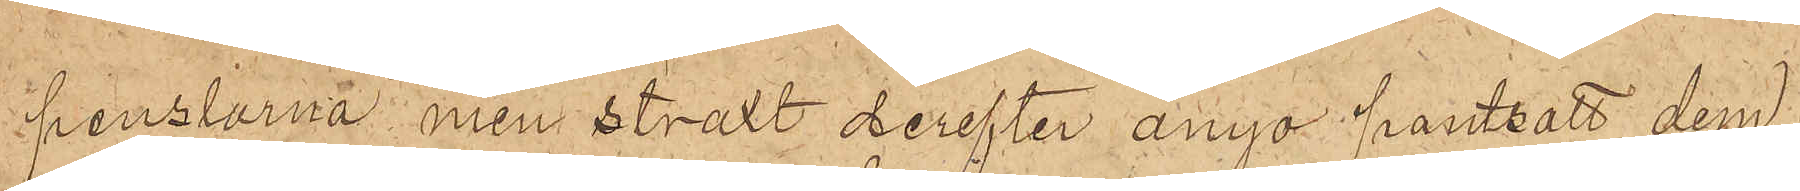penslarna, men straxt derefter ånyo pantsatt dem
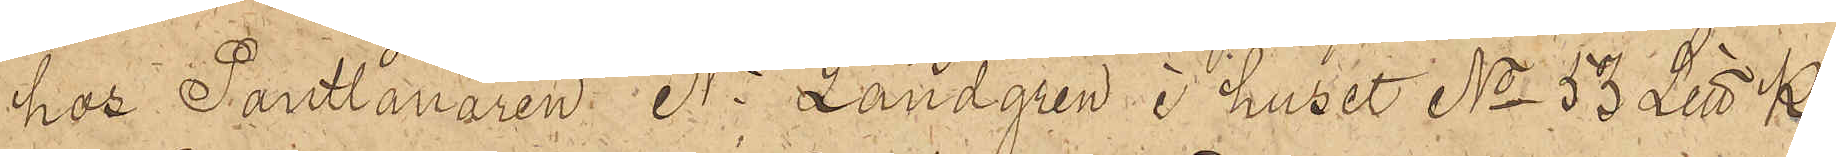hos Pantlånaren N. Landgren i huset No 53 Litt K
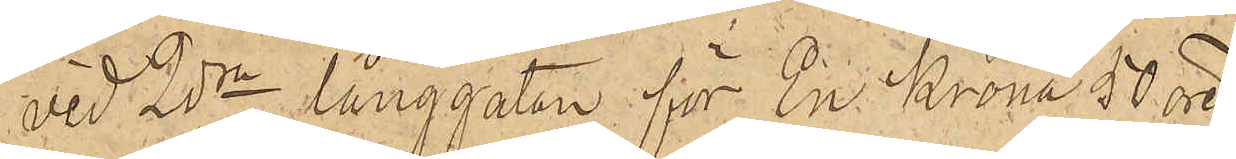vid 2dra Långgatan för En Krona 50 öre
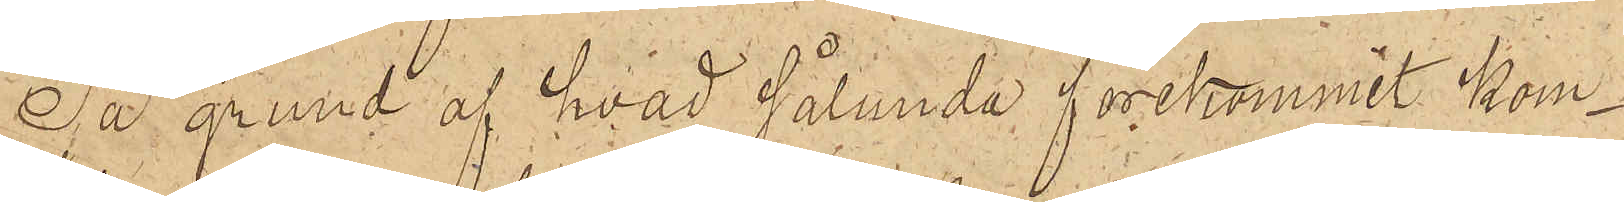På grund af hvad sålunda förekommit kom¬
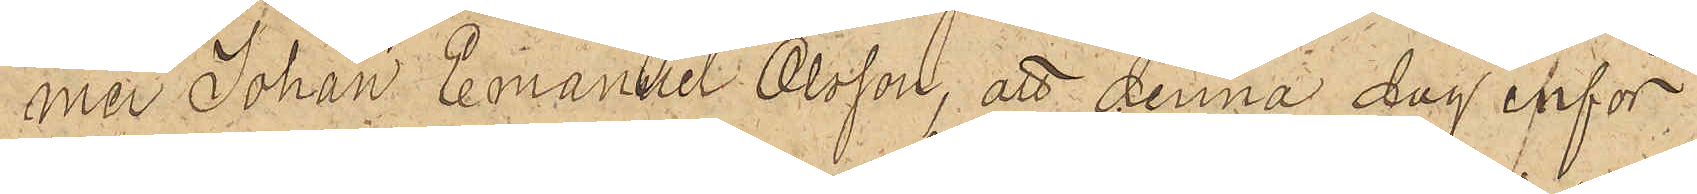mer Johan Emanuel Olsson, att denna dag inför
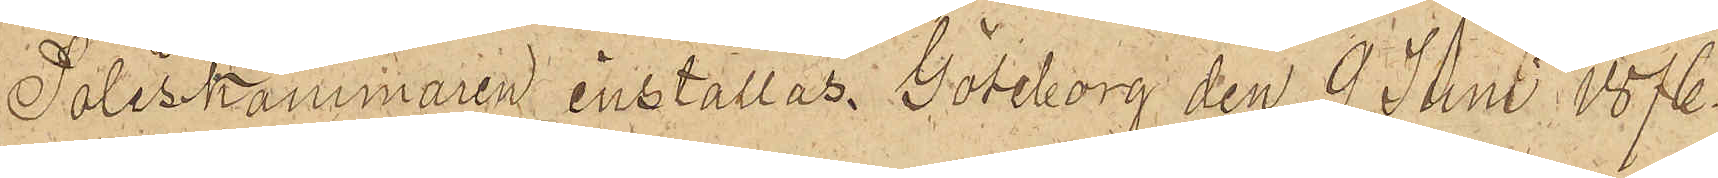Poliskammaren inställas. Göteborg den 9 Juni 1876.
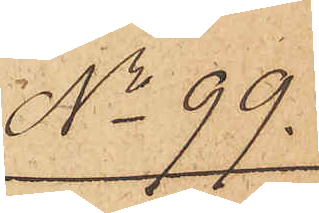No 99.
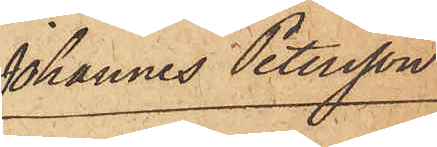Johannes Petersson
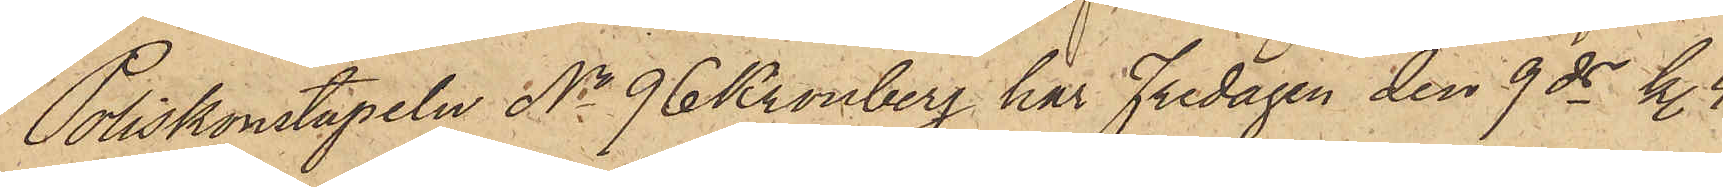Poliskonstapeln No 96 Kronberg har Fredagen den 9 ds kl. 4
